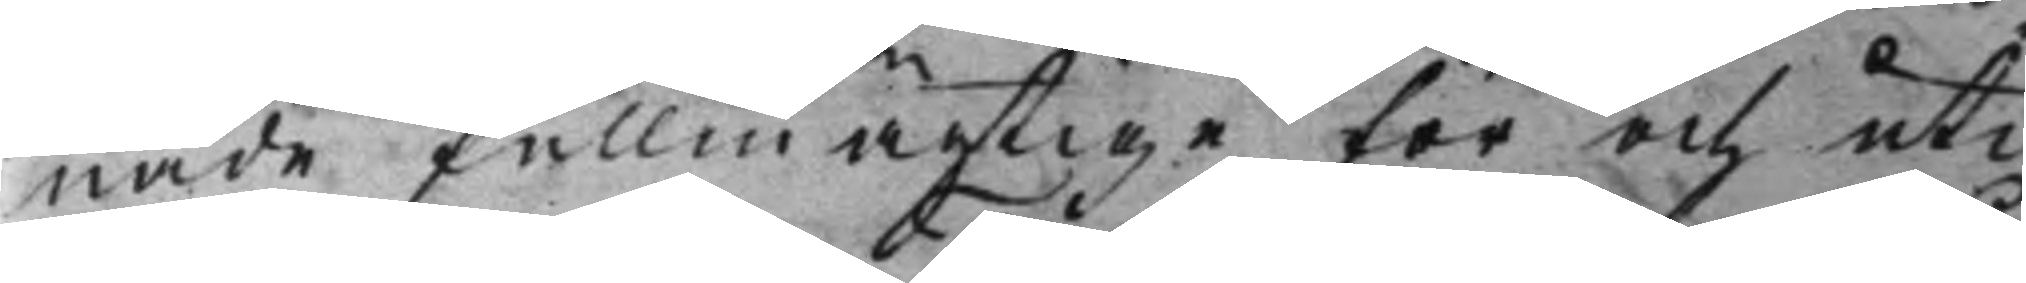nade fullmägtige för och uti
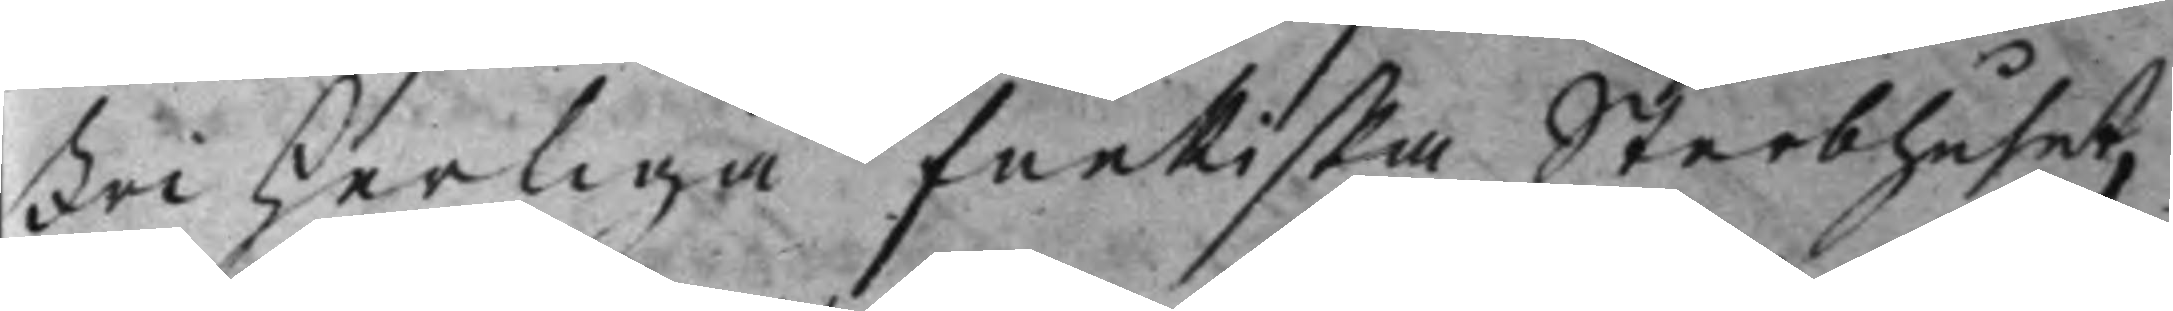Friherliga Funkiska Sterbhuset,
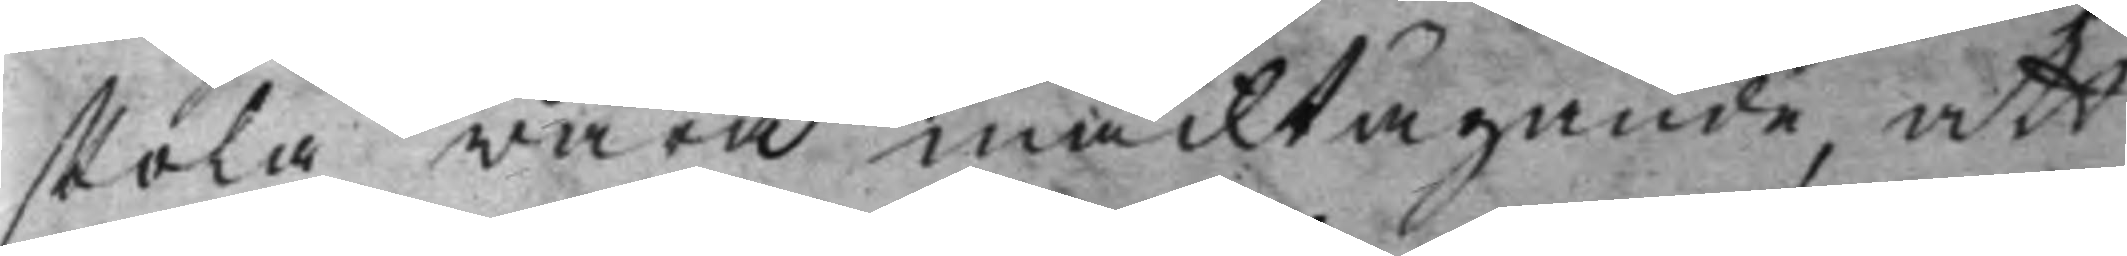skola wara macktägande, att
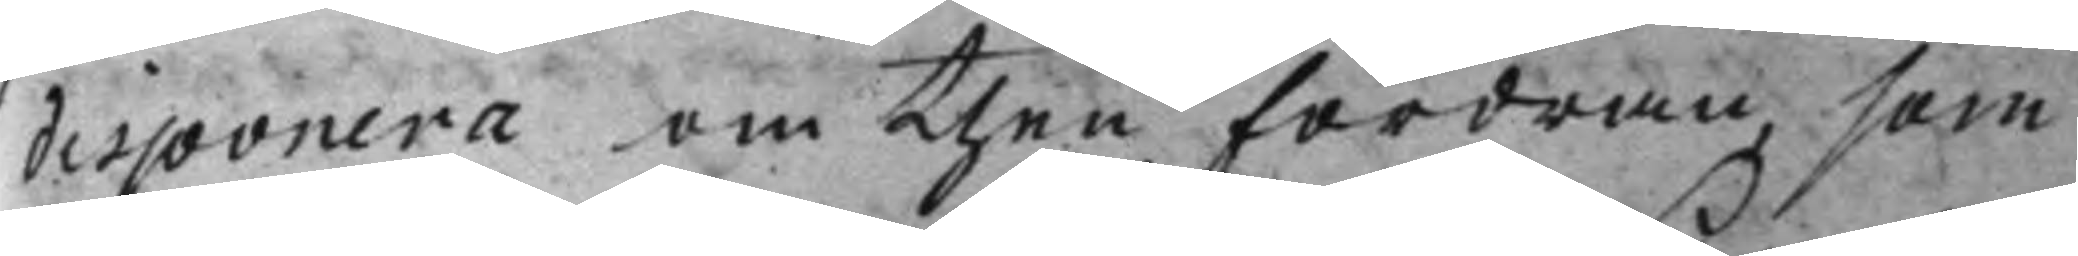disponera om then Fordran, som
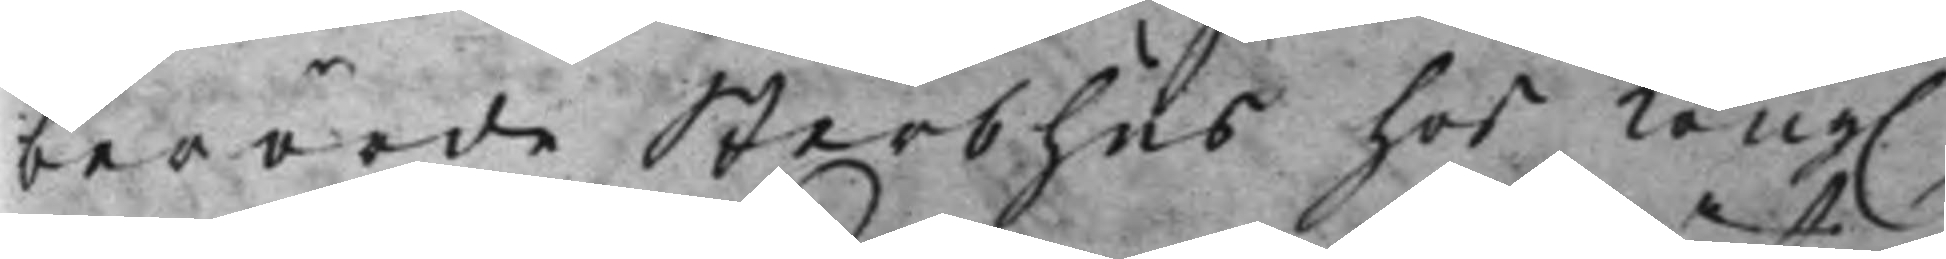berörde Sterbhus hos Kong. 
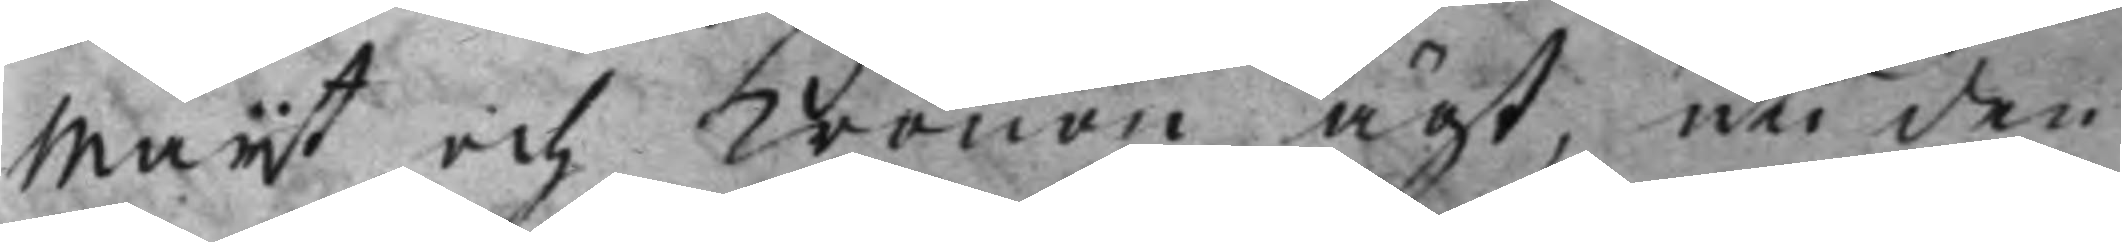Maijt och Kronon ägt, uti den 
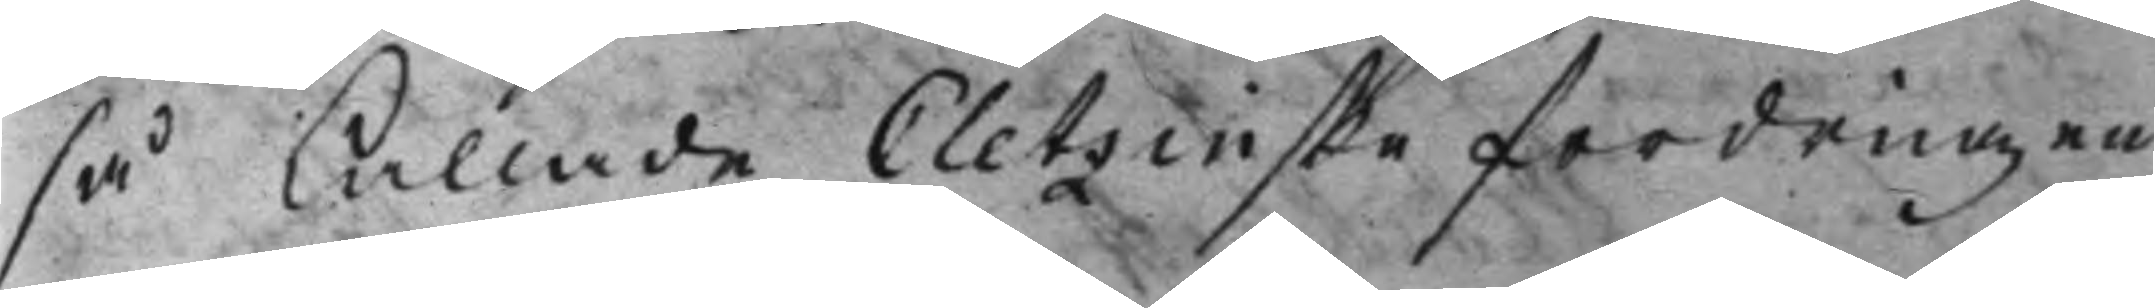så kallade Cletzinske fordringen
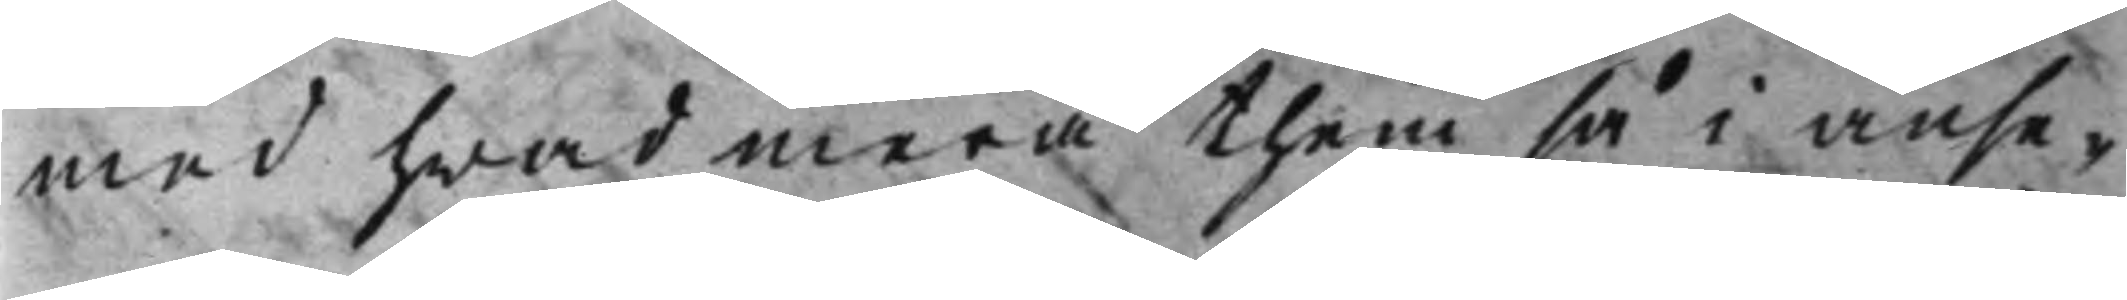med hwad mera them så i anse¬
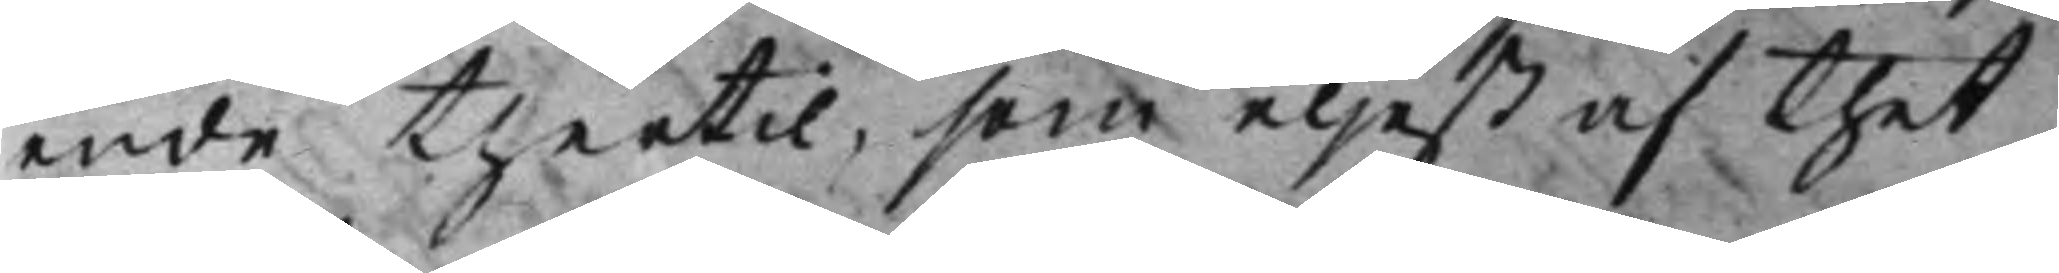ende thertil, som eljest af thet
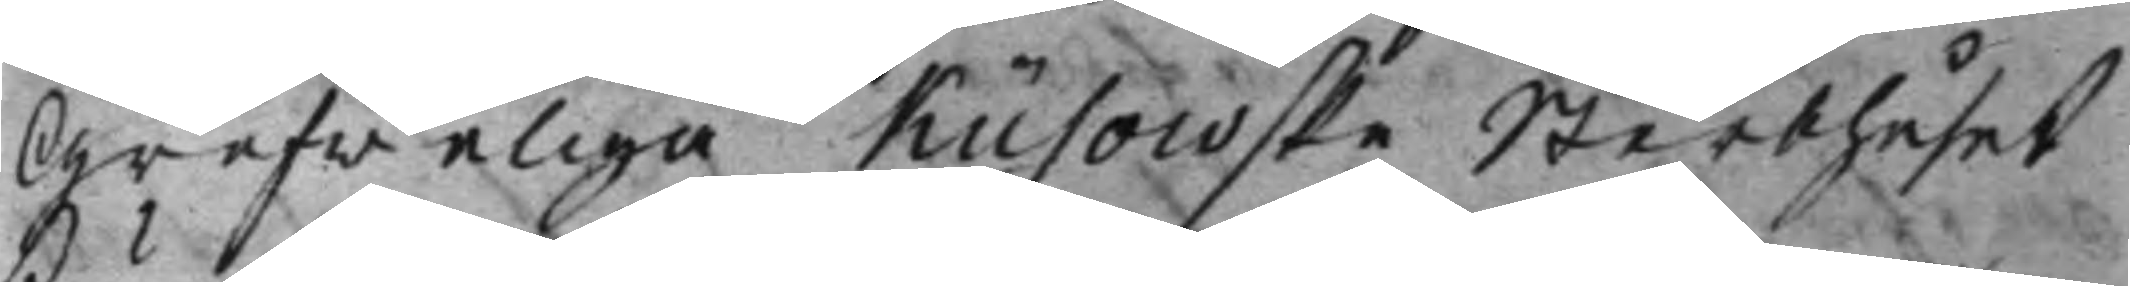Grefweliga Küsowske Sterbhuset
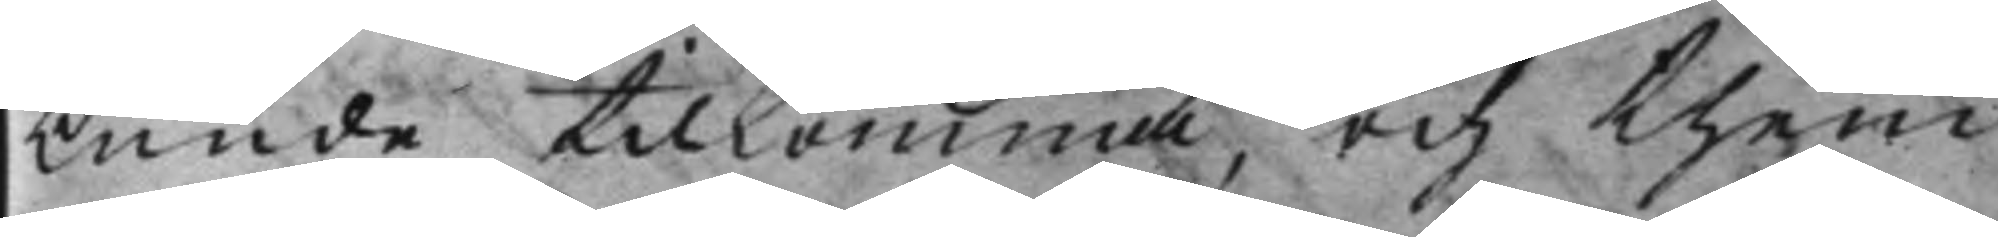kunde tilkomma, och them
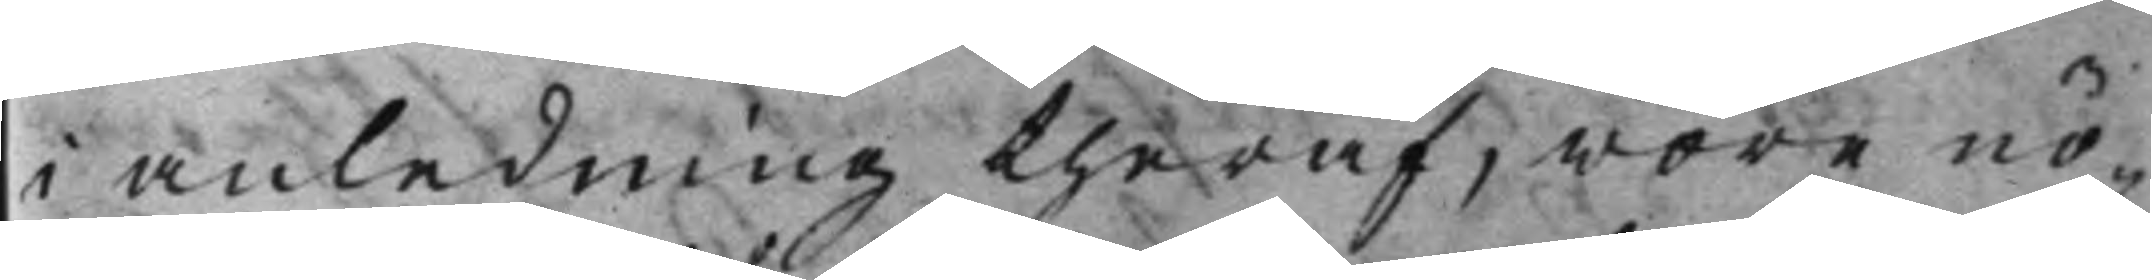i anledning theraf, wore nö¬
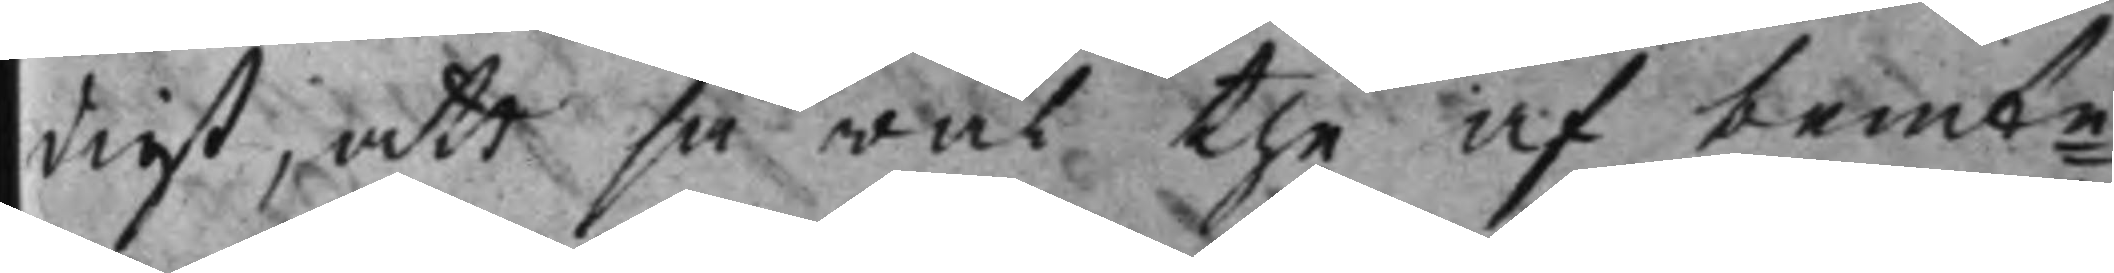digt, att så wäl the af bemte 
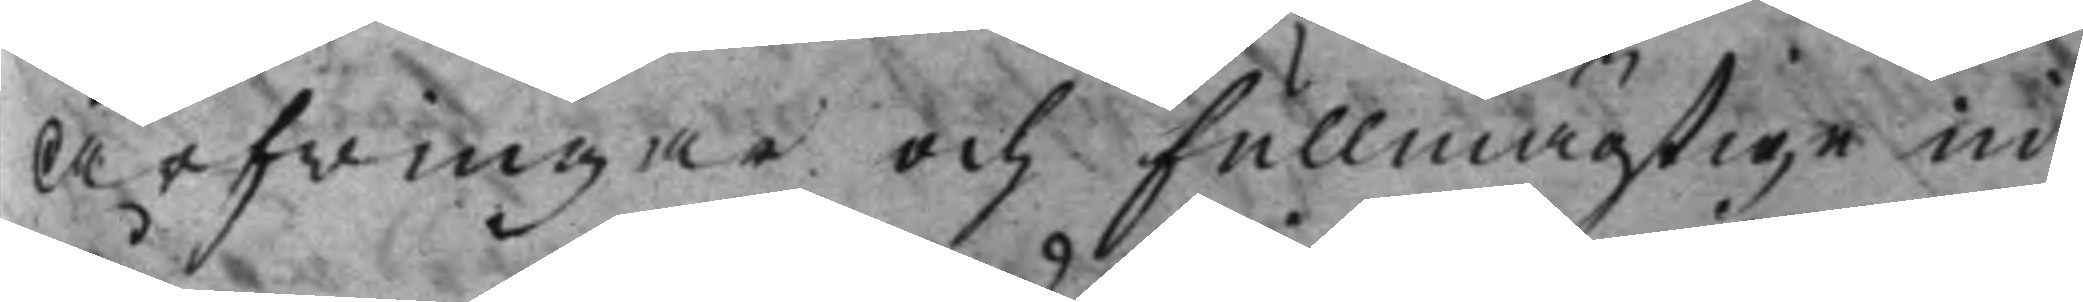Arfwingar och Fullmägtige in¬
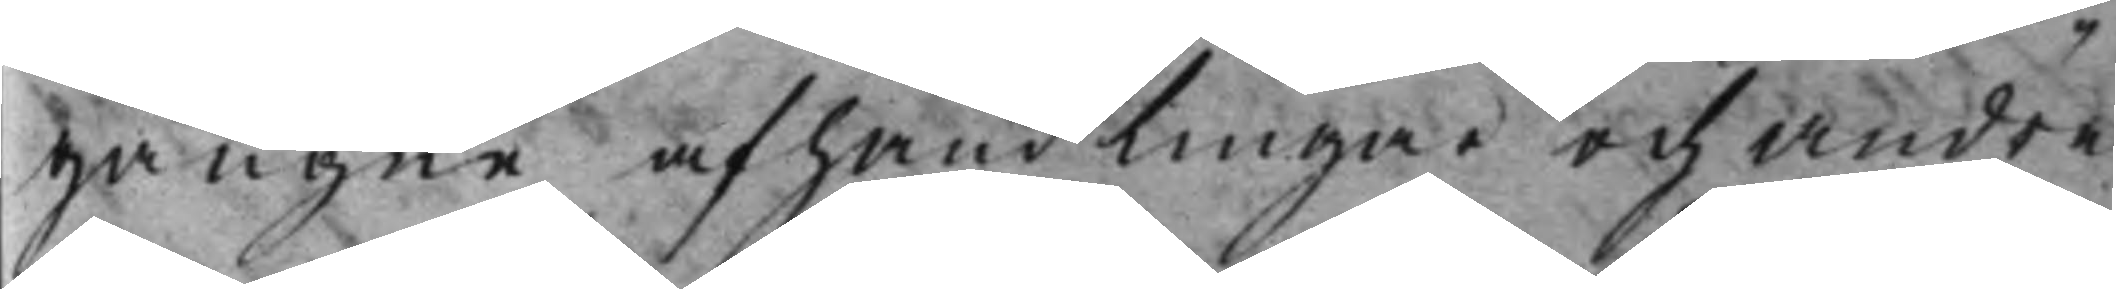gångne afhandlingar och andre
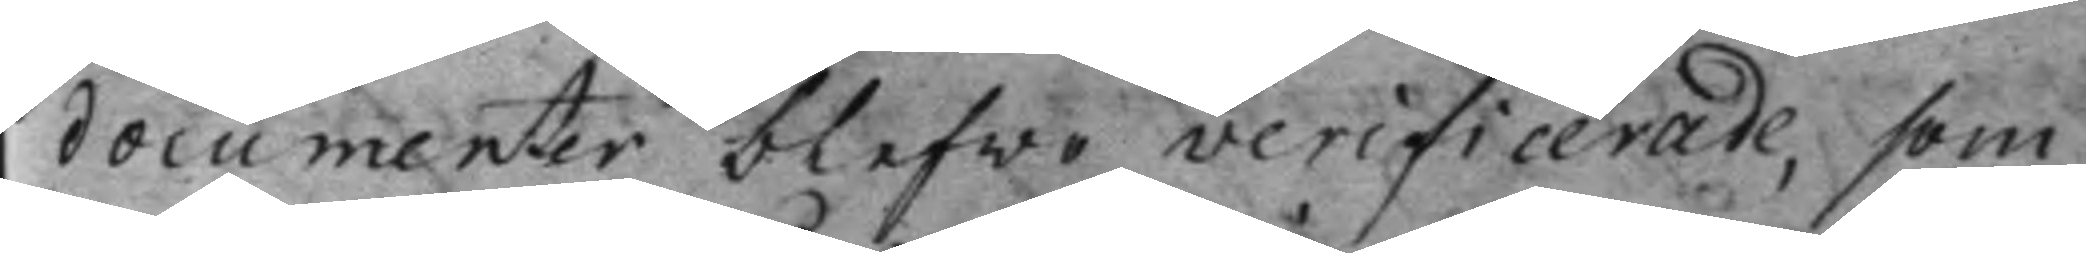documenter blefwo verificerade, som
